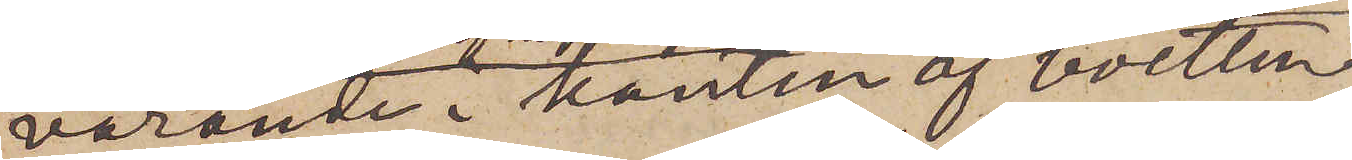varande i kanten af boetten
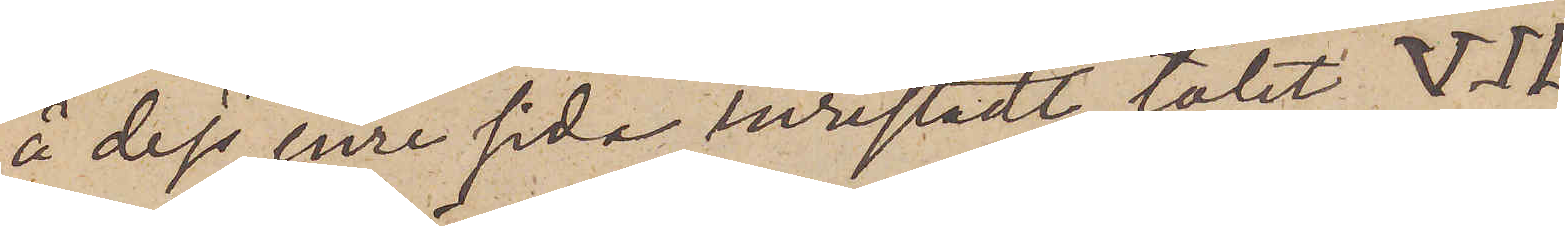å dess inre sida inristadt talet VII.
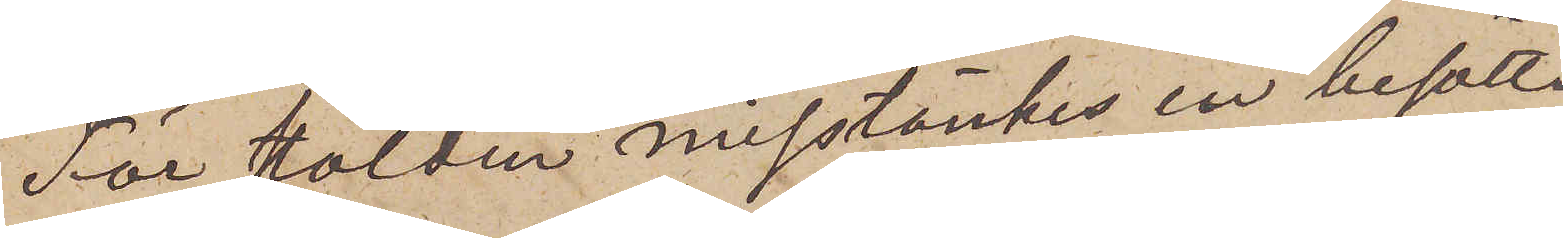För stölden misstänkes en besätt¬
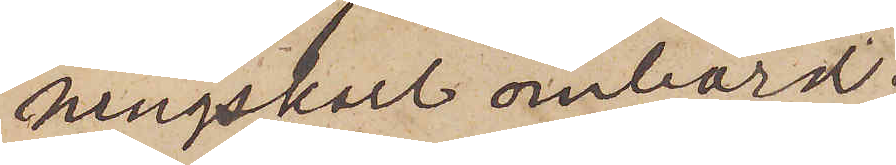ningskarl ombord
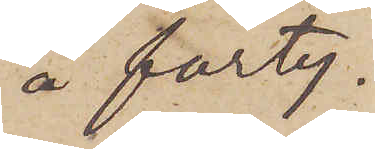å farty¬
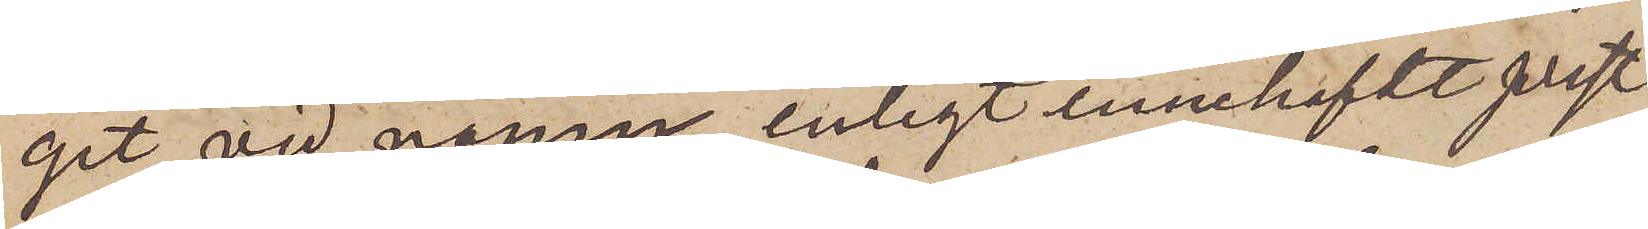get vid namn, enligt innehafdt prest¬
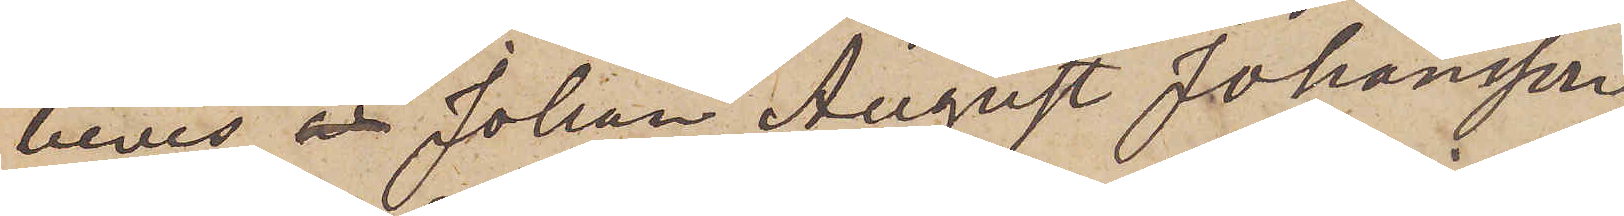bevis,  Johan August Johansson
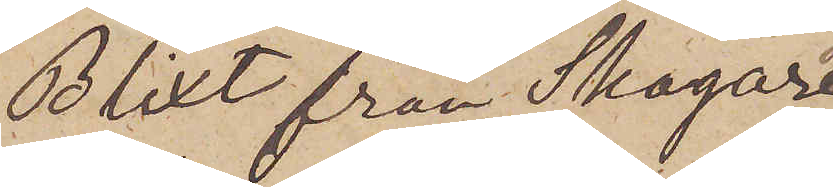Blixt från Skogar¬
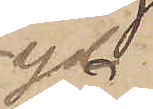yd
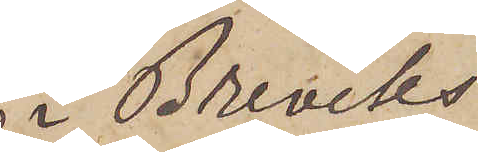i Breviks
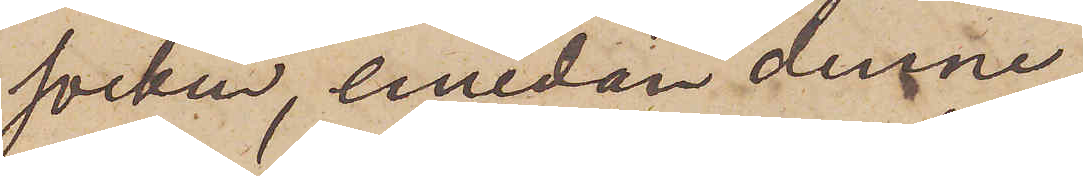socken, emedan denne
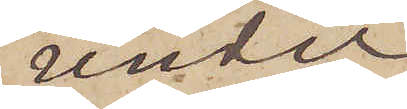under
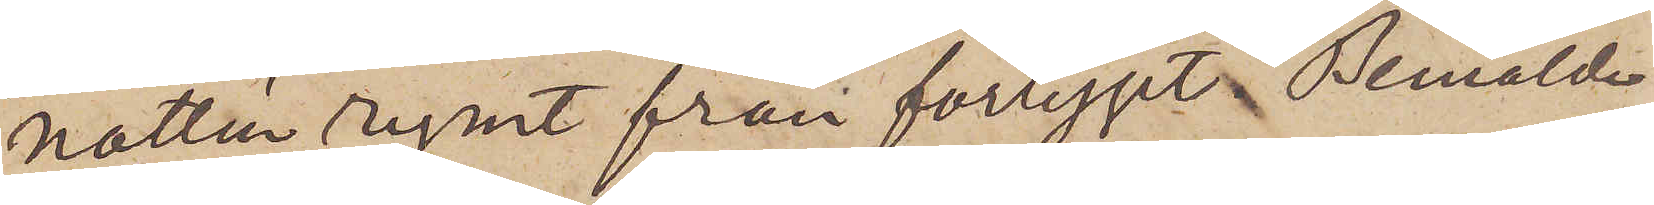natten rymt från fartyget. Bemälde
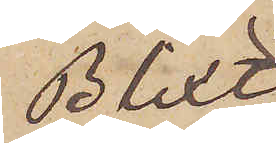Blixt,
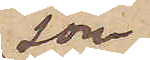som
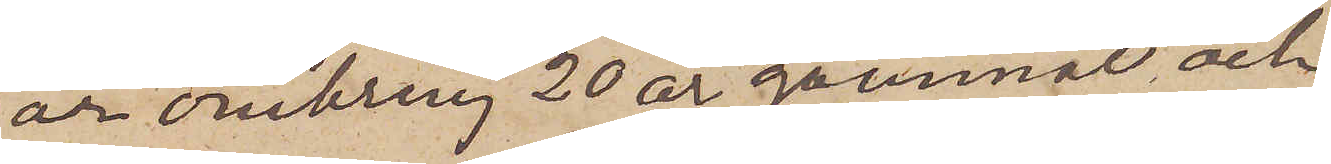är omkring 20 år gammal och
